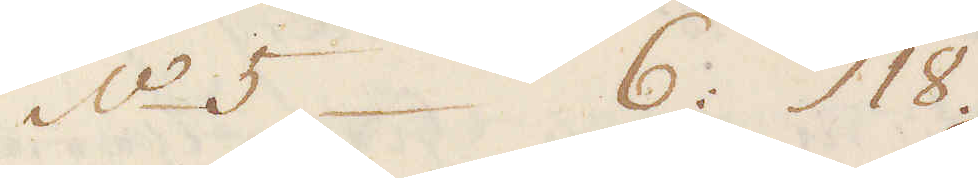No 5 – 6: 18.
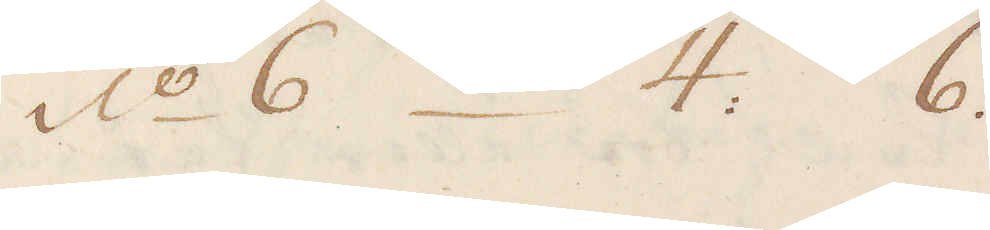No 6 – 4: 6.
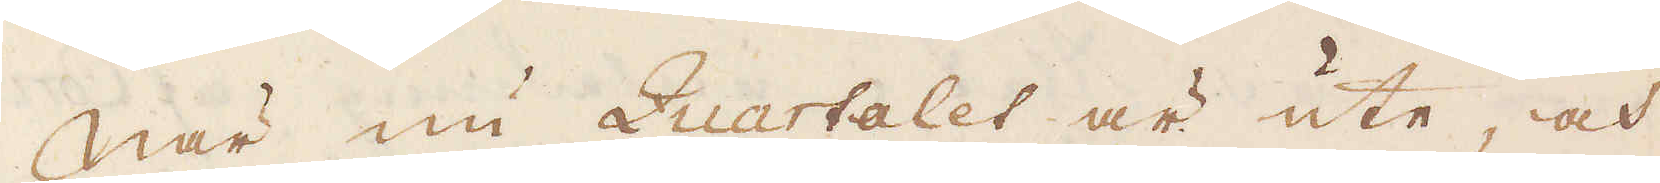När nu Quartalet är ute, och
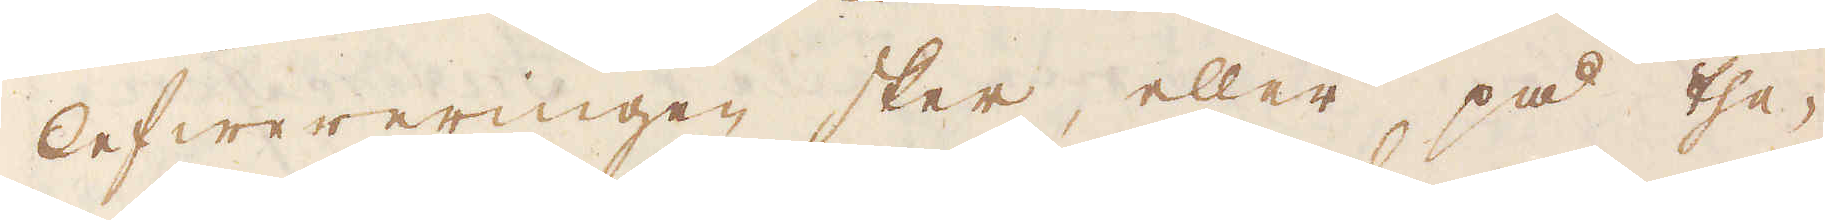lefwereringen sker, eller på the-
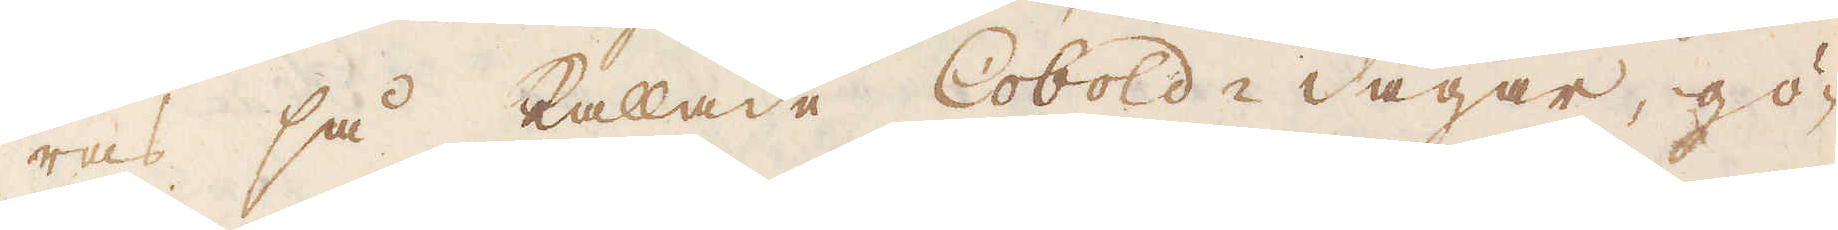ras så kallade Cobold-dagar, gö-
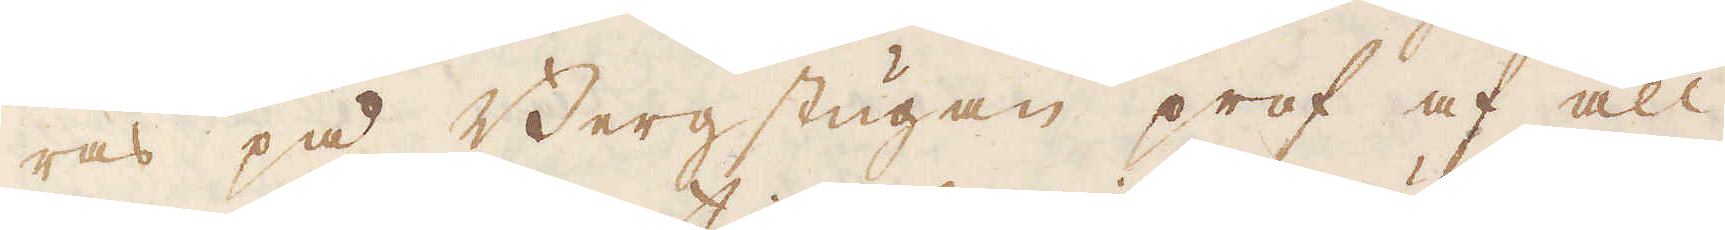ras på Bergstugan prof af all
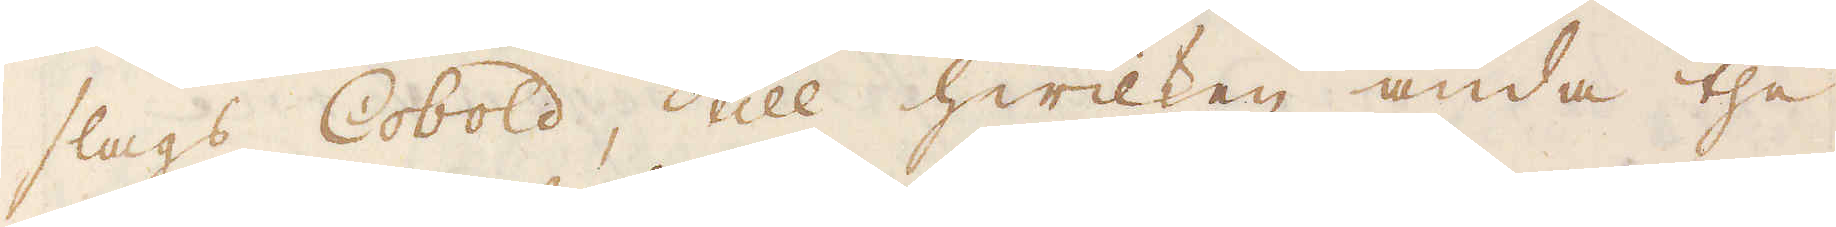slags Cobold, till hwilken ända the
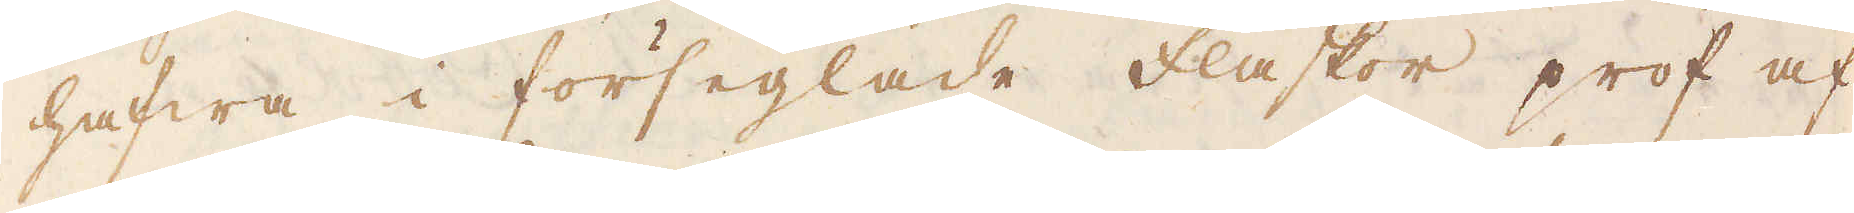hafwa i förseglade flaskor prof af
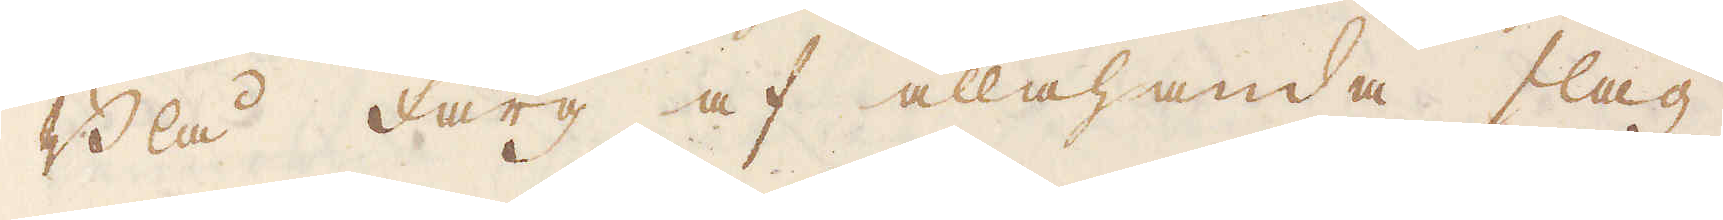Blå färg af allahanda slag
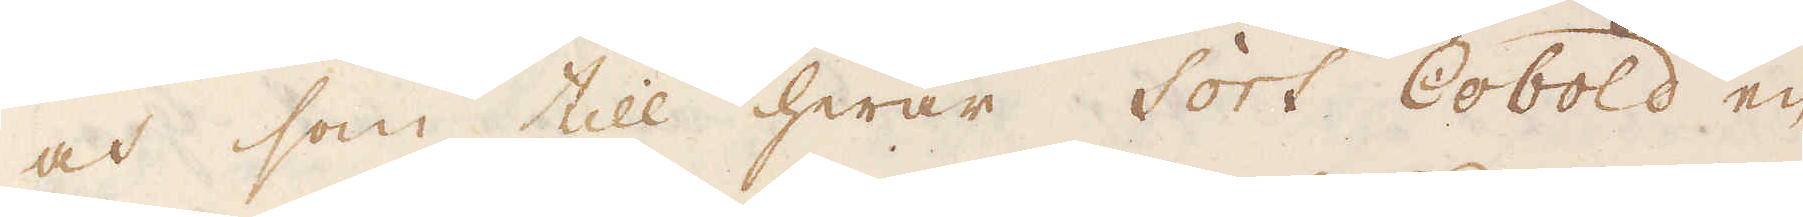och som till hwar sort Cobold en
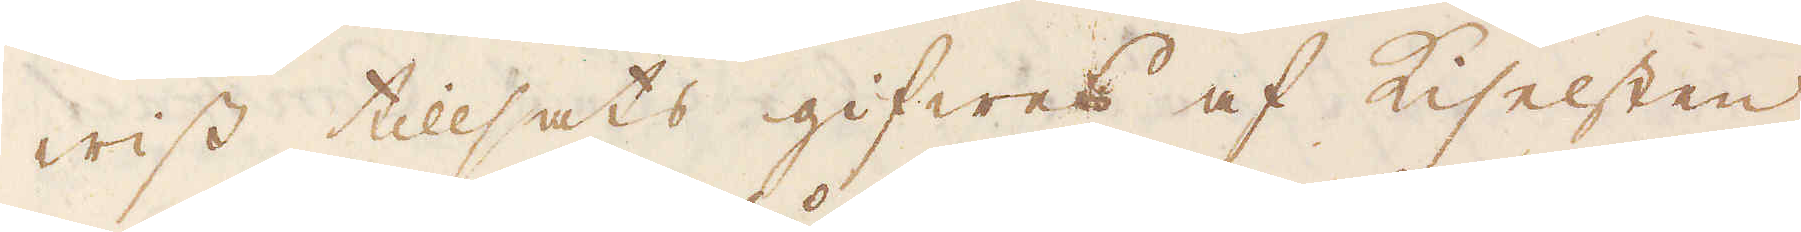wiss tillsats gifwes af Kiselsten
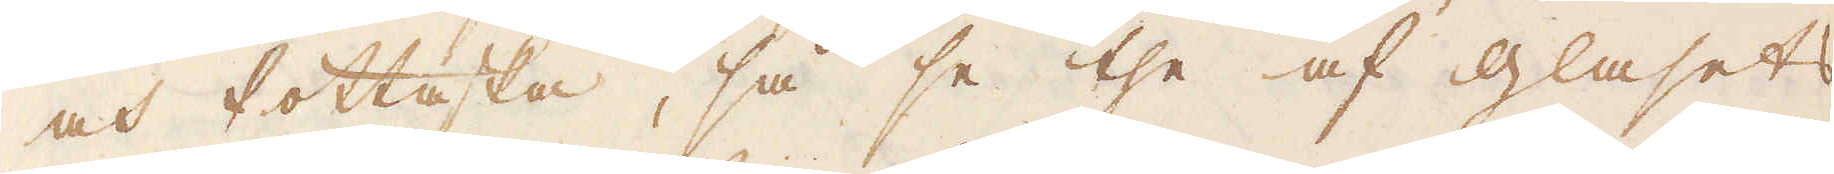och Pottaska, så se the af glasets
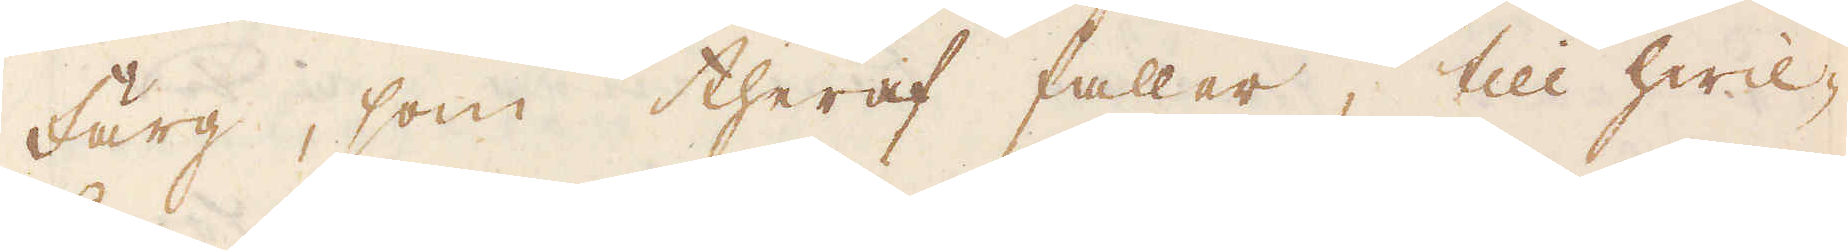färg, som theraf faller, till hwil-
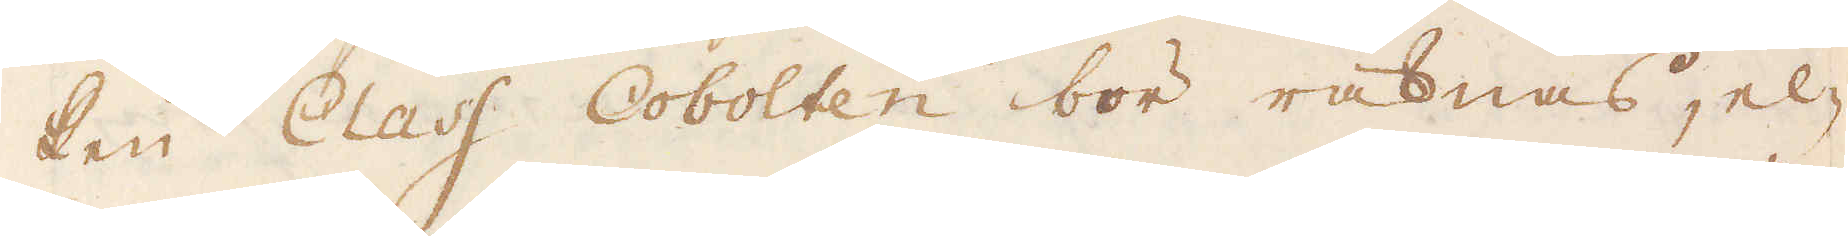ken Class Cobolten bör räknas, el-
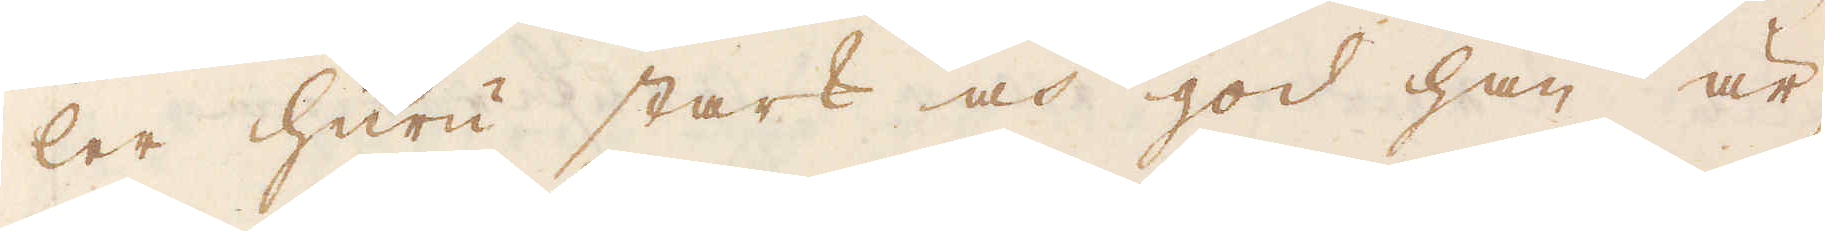ler huru stark och god han är,
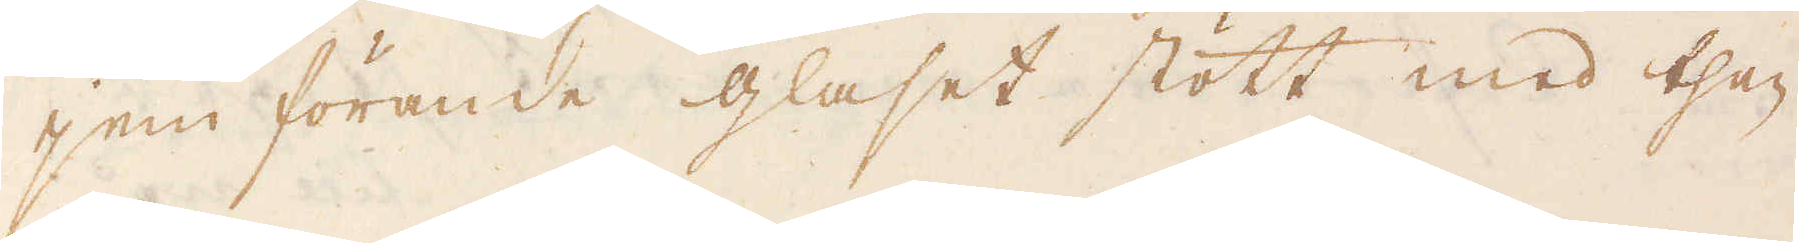jem förande glaset stött med then
